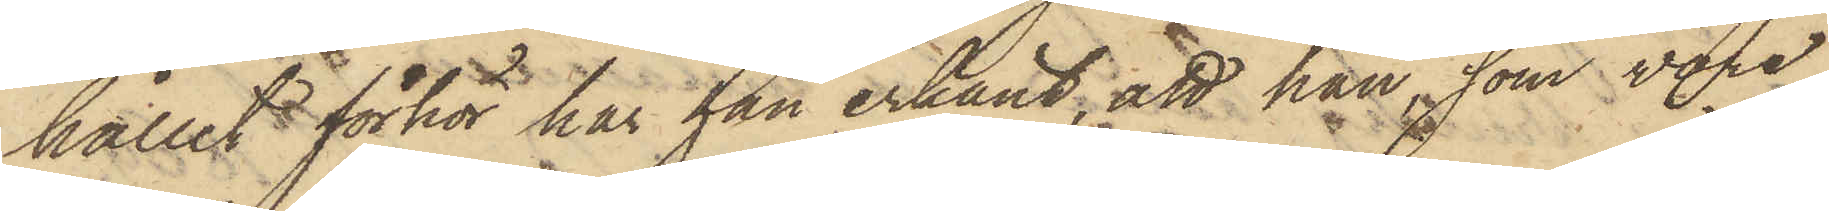hållit förhör har han erkänt, att han, som vore
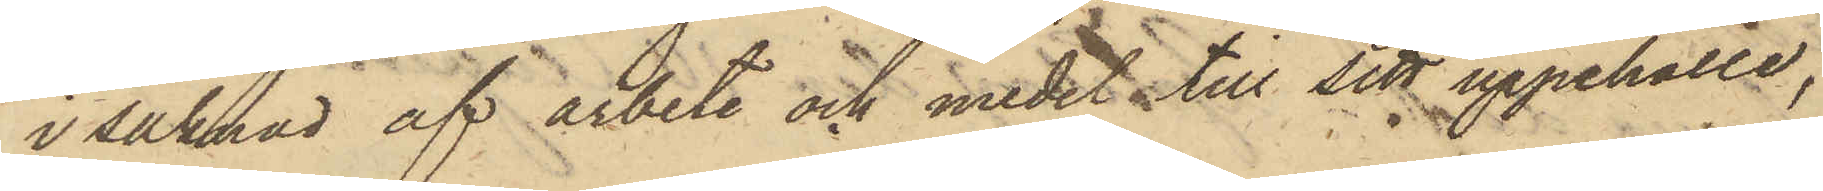i saknad af arbete och medel till sitt uppehälle,
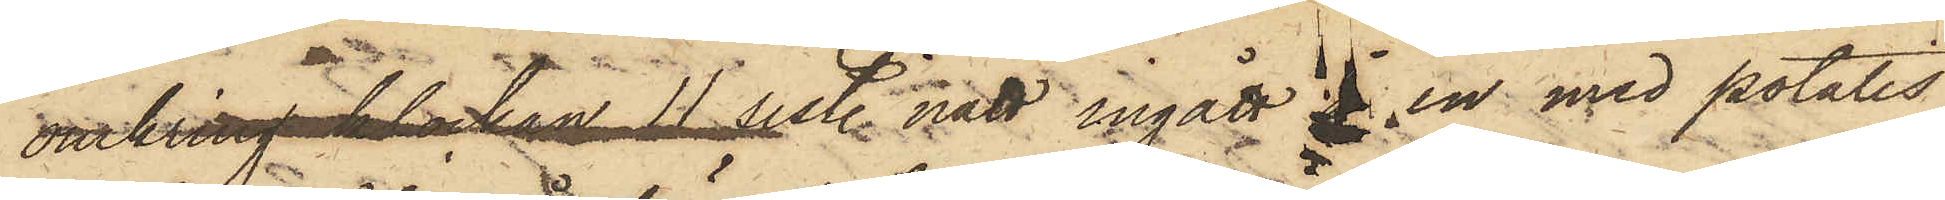omkring klockan 11 sist. natt ingått i en med potatis
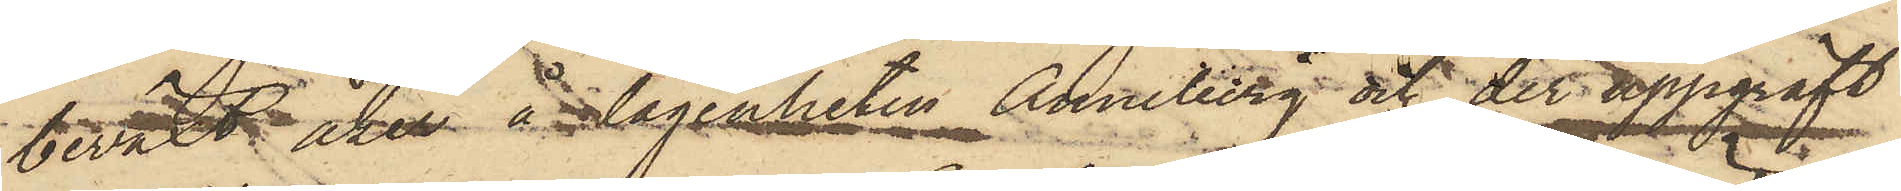beväxt åker å lägenheten Anneberg och der uppgräft
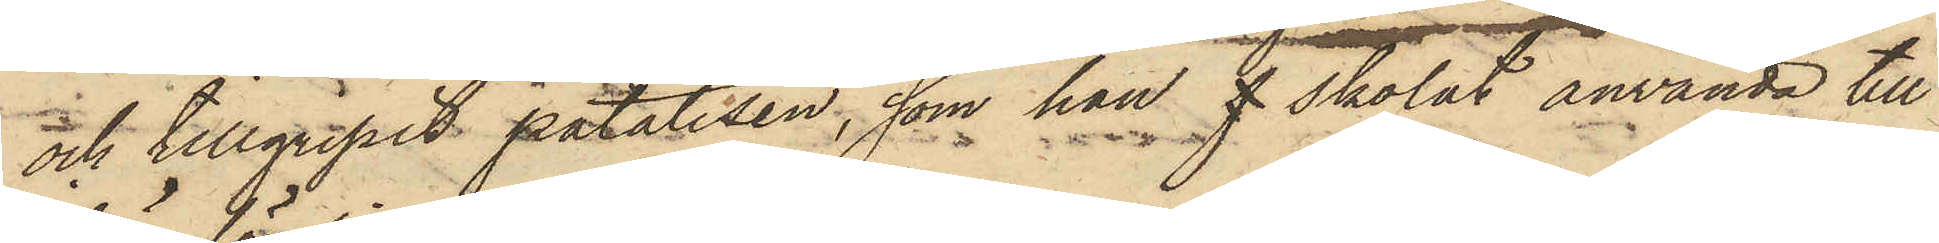och tillgripit potatisen, som han f skolat använda till
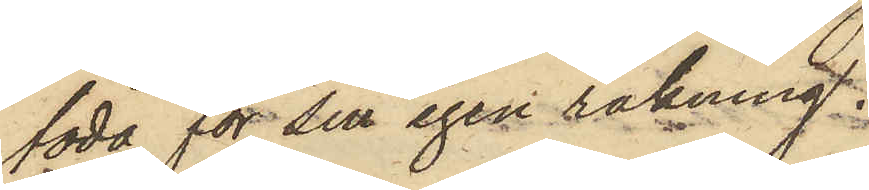föda för sin egen räkning.
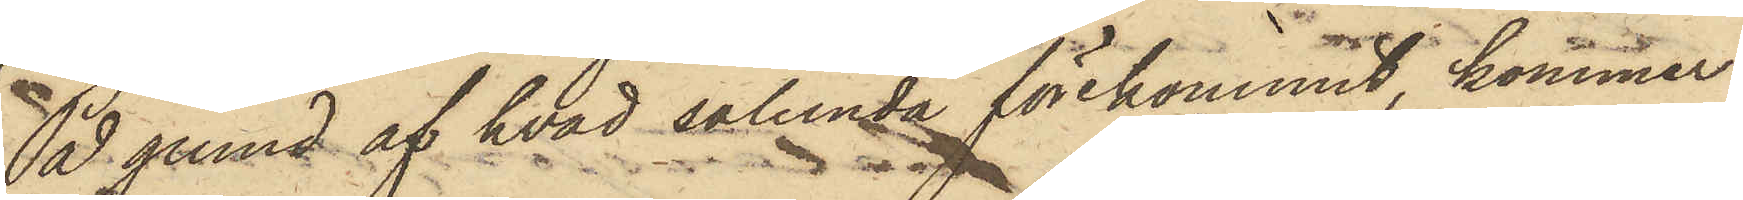På grund af hvad sålunda förekommit, kommer
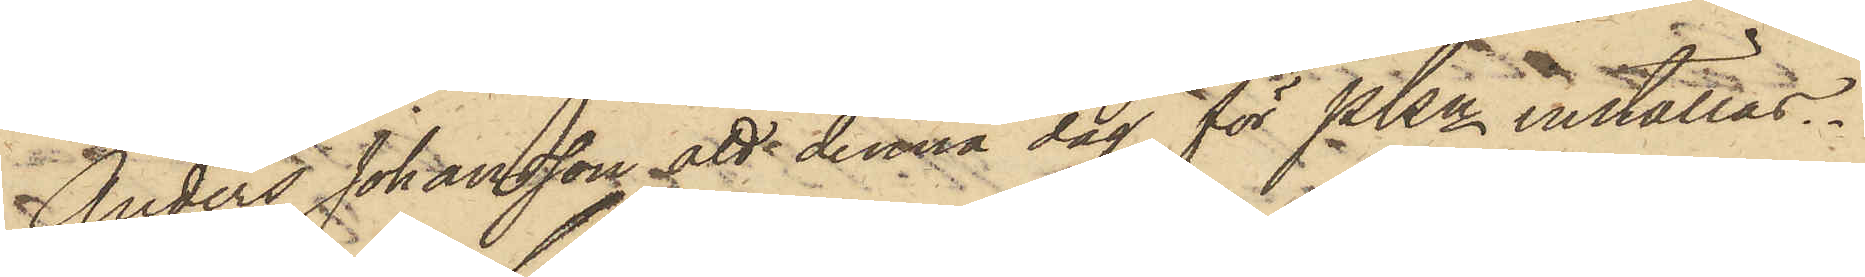Anders Johansson att denna dag för PKn inställas.
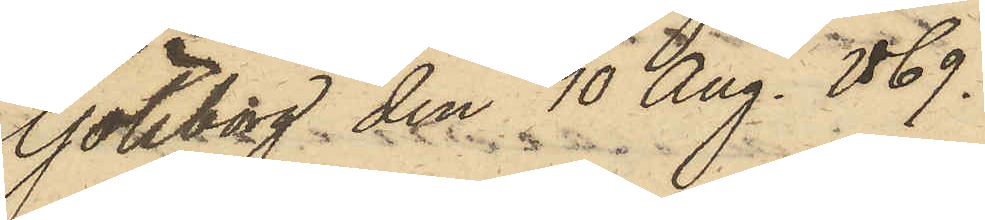Göteborg den 10 Aug. 1869.
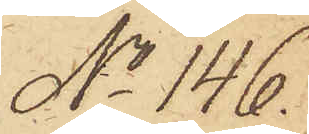No 146.
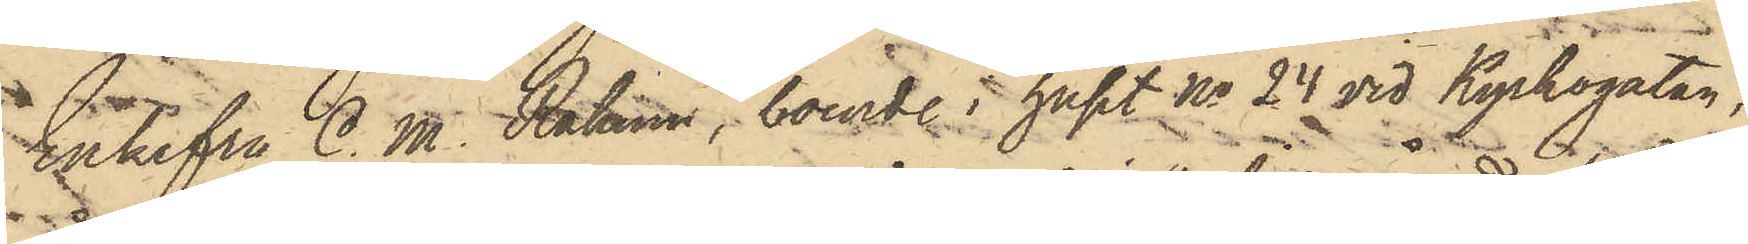Enkefru C. M. Rahmn, boende i huset No 24 vid Kyrkogatan,
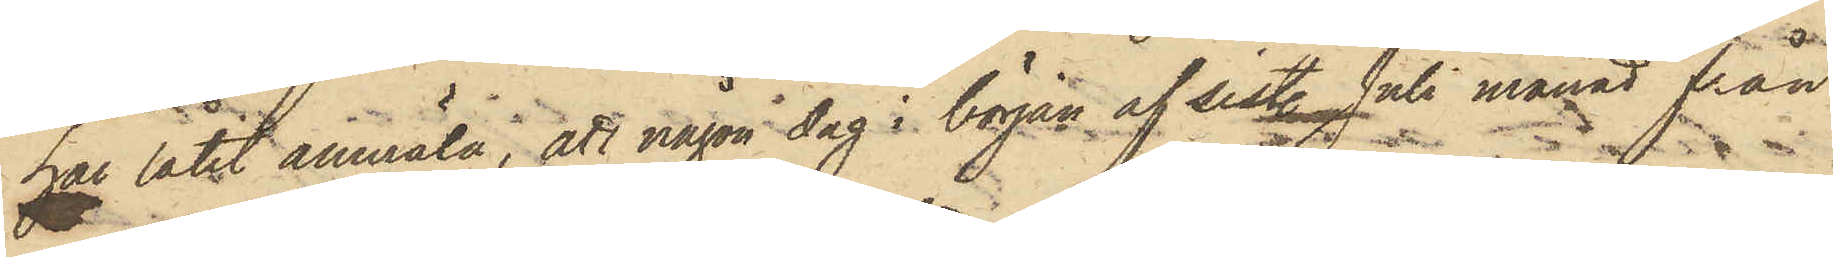har låtit anmäla, att någon dag i början af sistl. Juli månad från
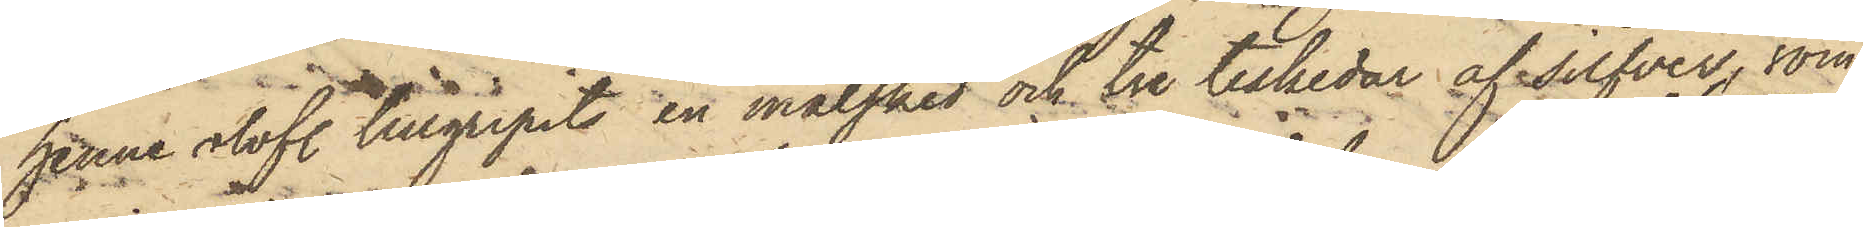henne olofl. tillgripits en matsked och tre teskedar af silfver, som
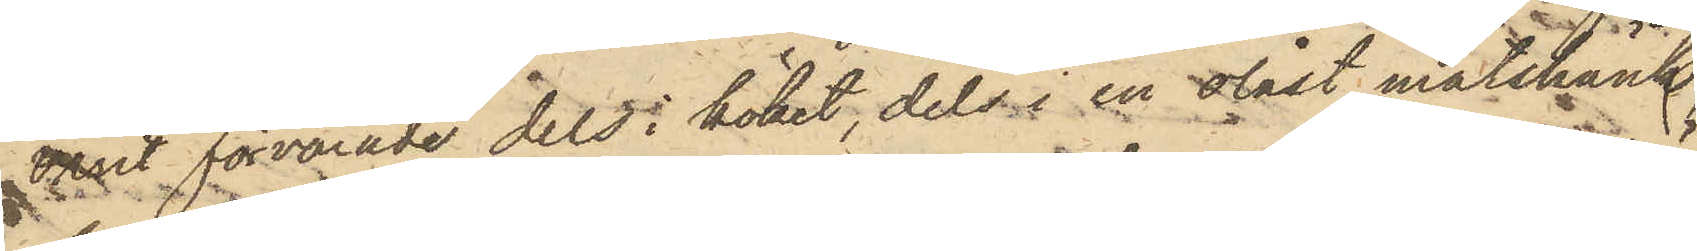varit förvarade dels i köket, dels i en olåst matskänk
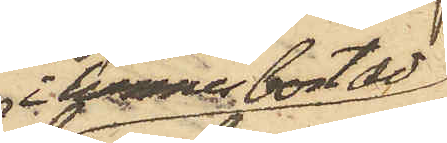i hennes bostad;
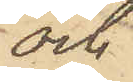och
